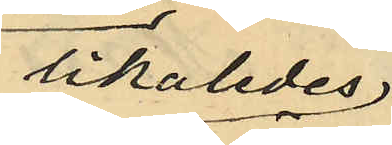likaledes
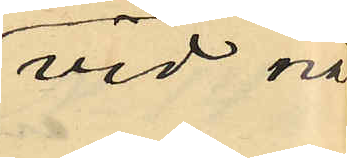vid nå¬
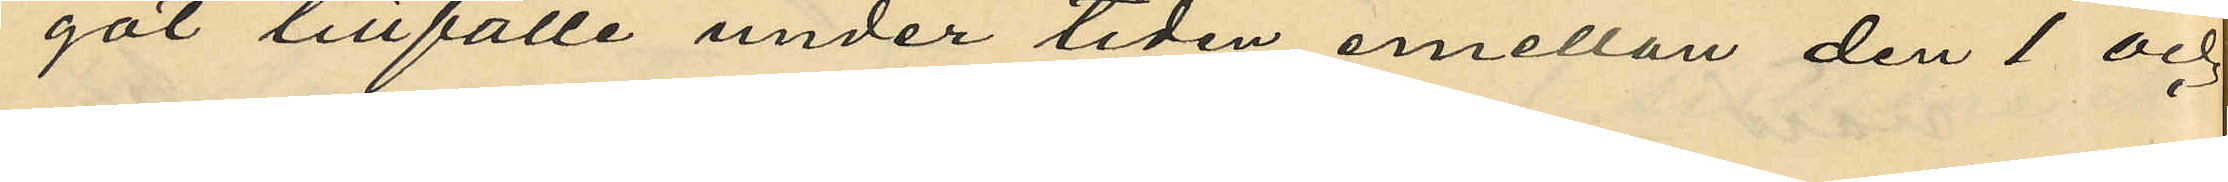got tillfälle under tiden emellan den 1 och
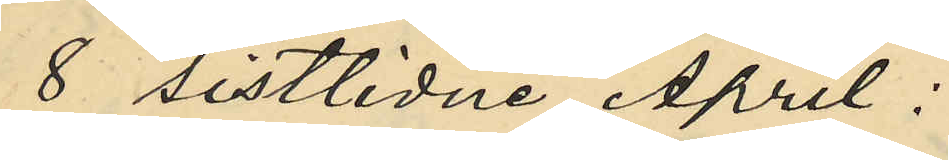8 sistlidne April:
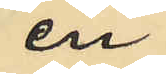en
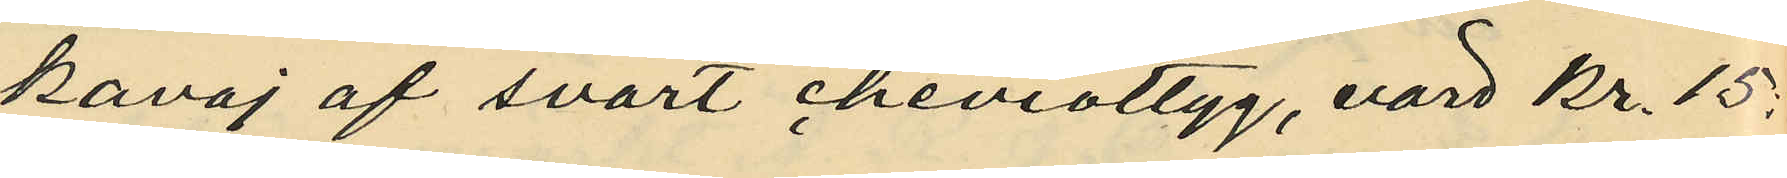kavaj af svart cheviottyg, värd kr. 15.
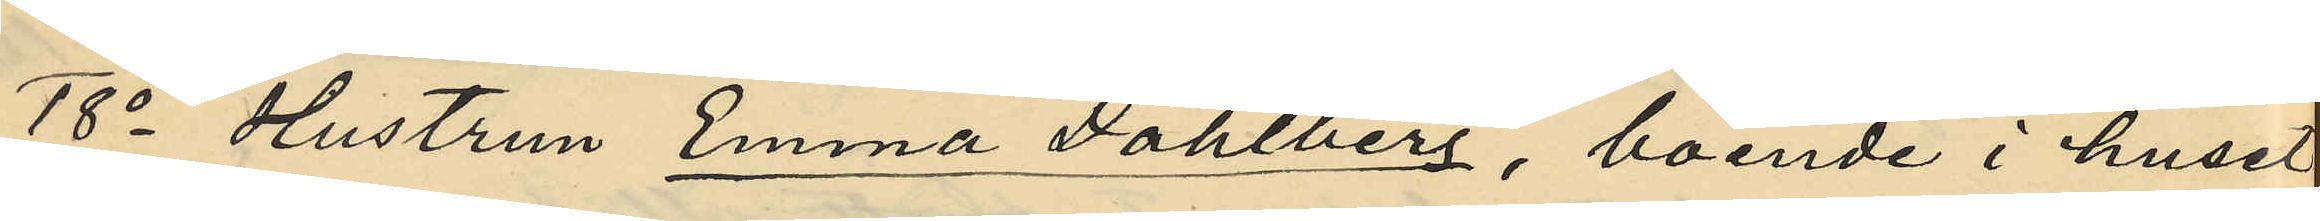18o Hustrun Emma Dahlberg, boende i huset
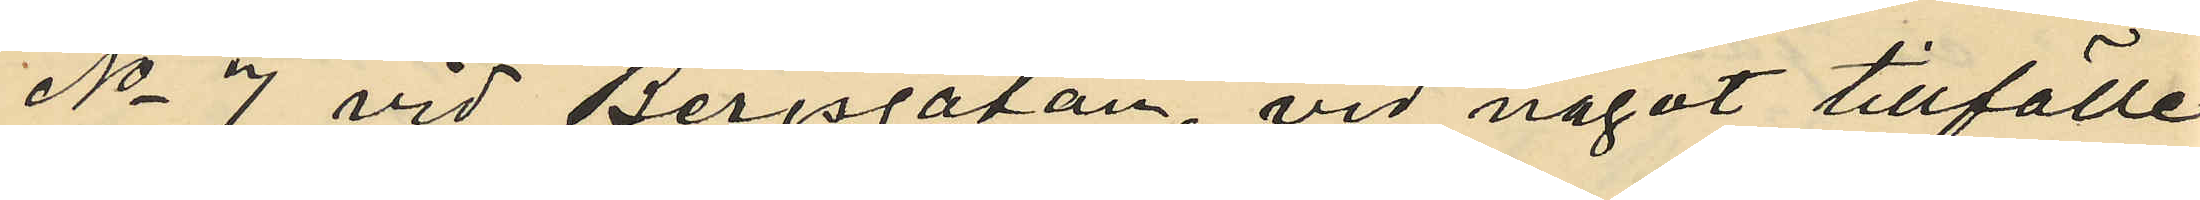No 7 vid Bergsgatan, vid något tillfälle
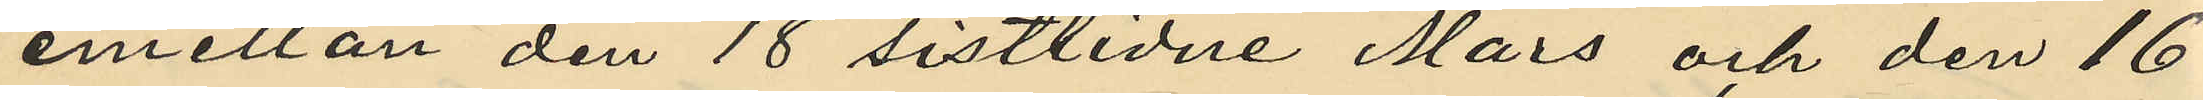emellan den 18 sistlidne Mars och den 16
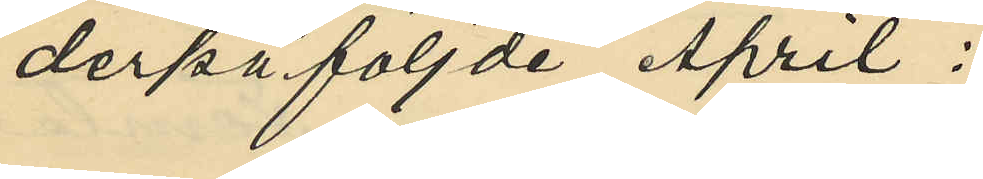derpåföljde April:
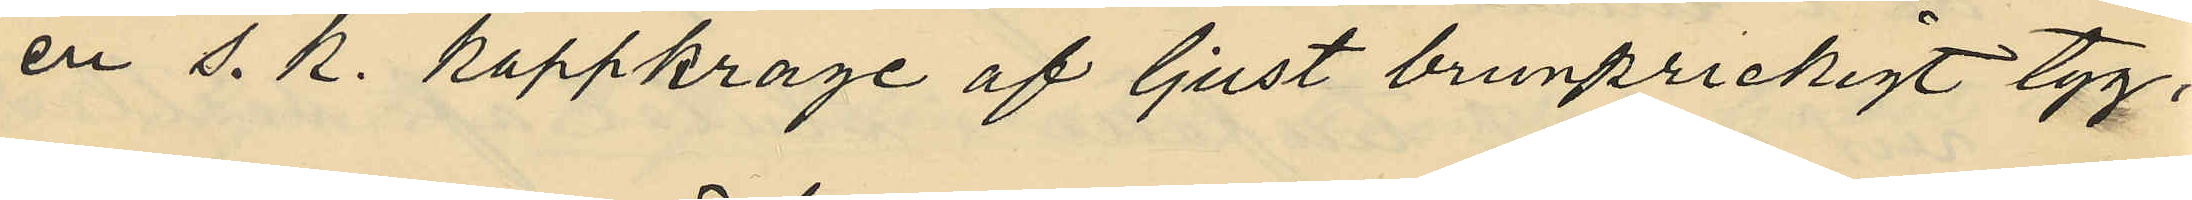en s. k. kappkrage af ljust brunprickigt tyg,
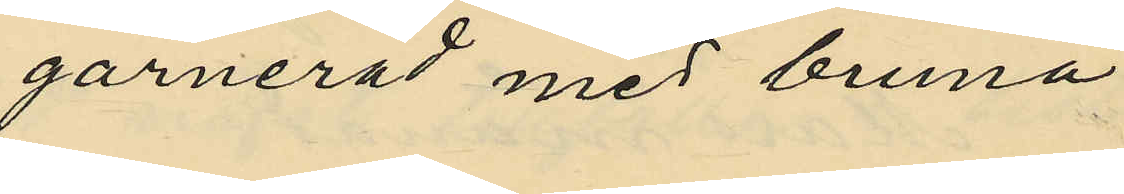garnerad med bruna
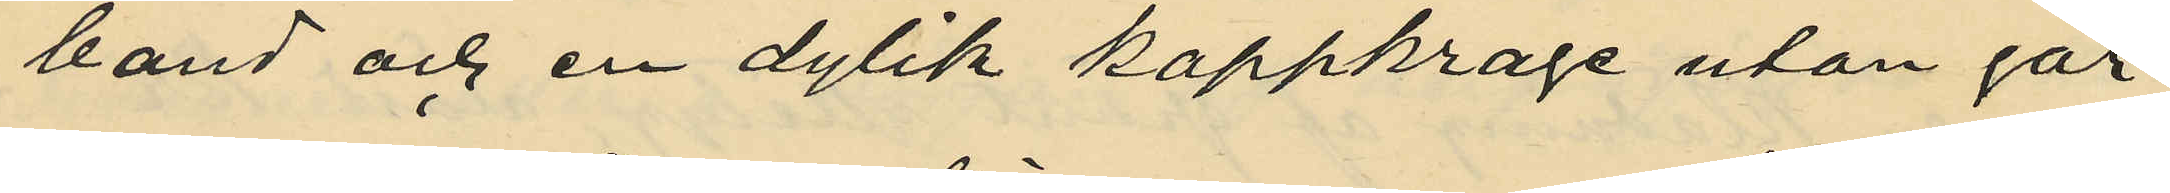band och en dylik kappkrage utan gar¬
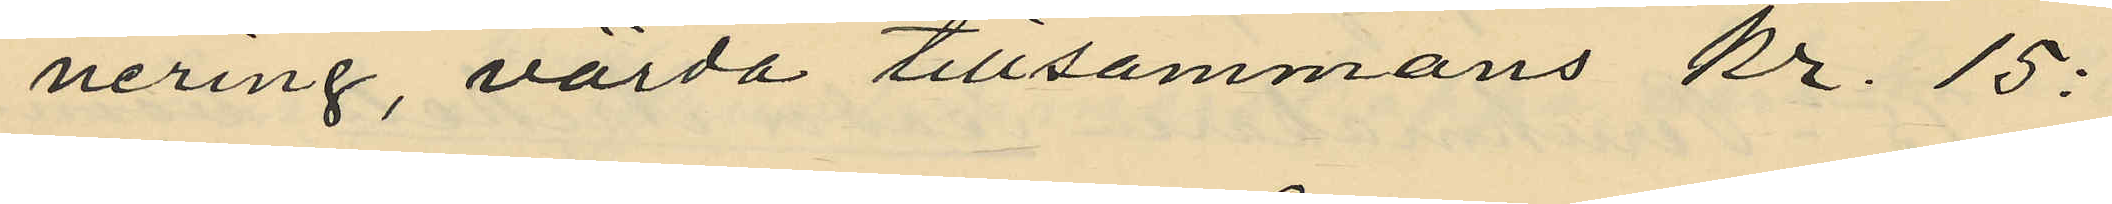nering, värda tillsammans kr. 15:
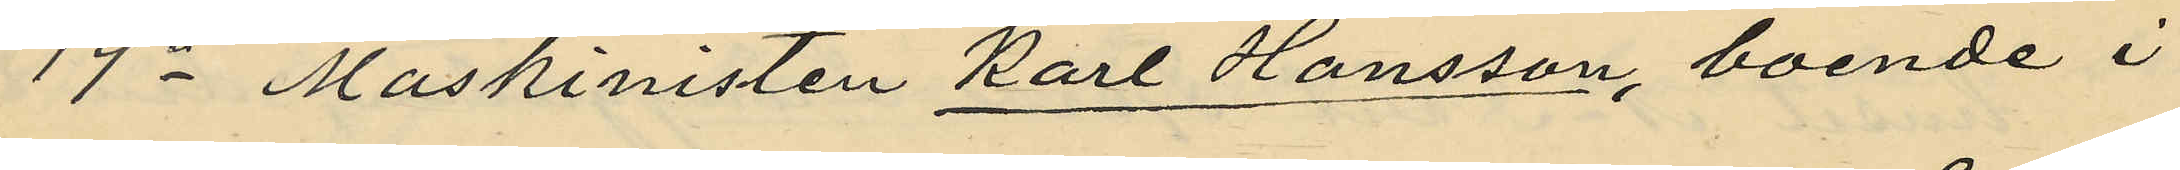19o Maskinisten Karl Hansson, boende i
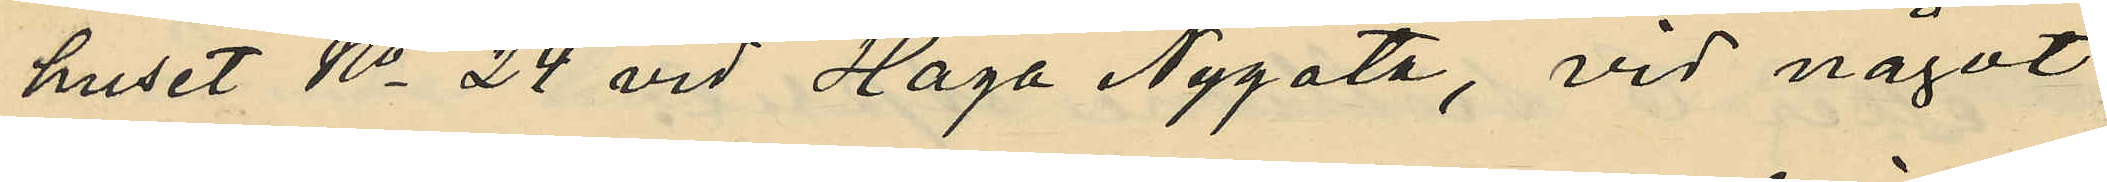huset No 24 vid Haga Nygata, vid något
